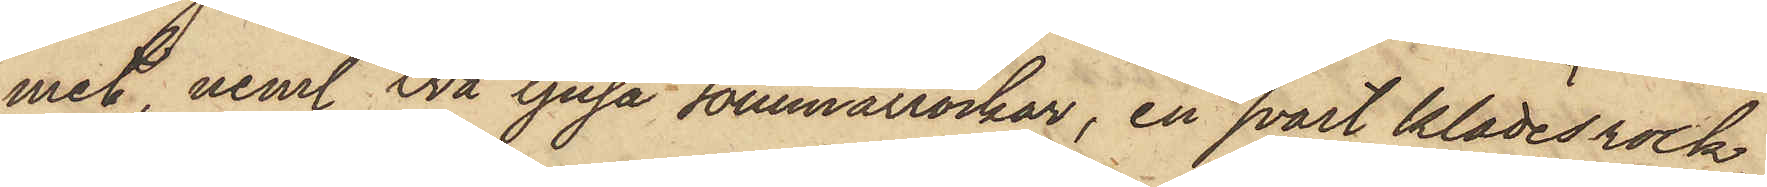met, neml. två ljusa sommarrockar, en svart klädesrock,
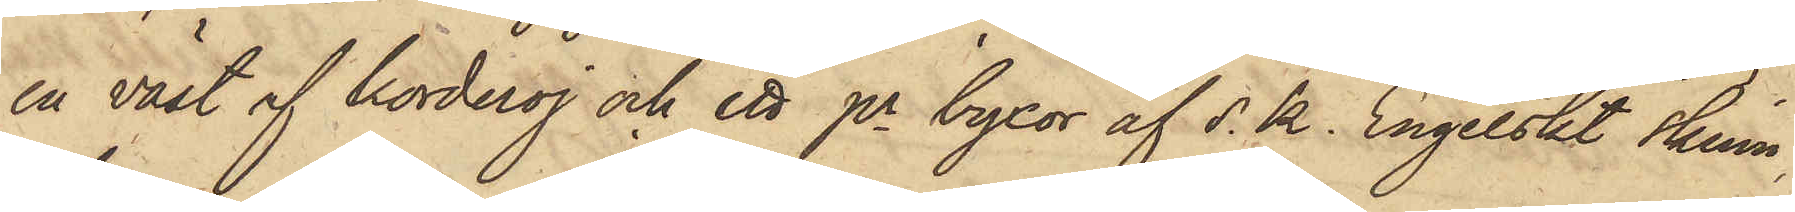en väst af korderoj och ett pr byxor af s. k. Engelskt skinn;
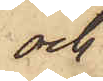och
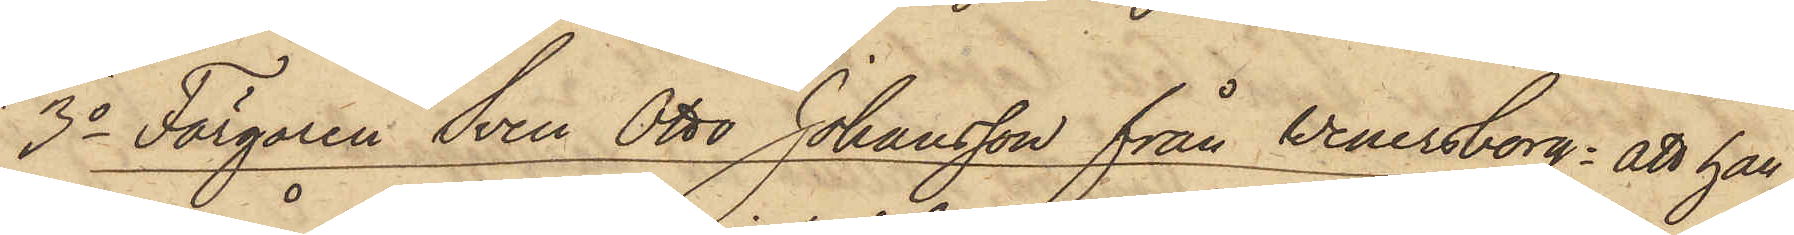3o Färgaren Sven Otto Johansson från Wenersborg: att han
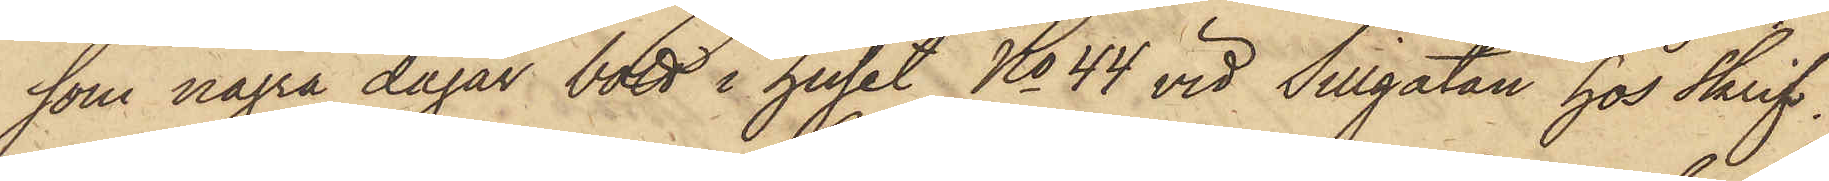som några dagar bott i huset No 44 vid Sillgatan hos Skrif¬
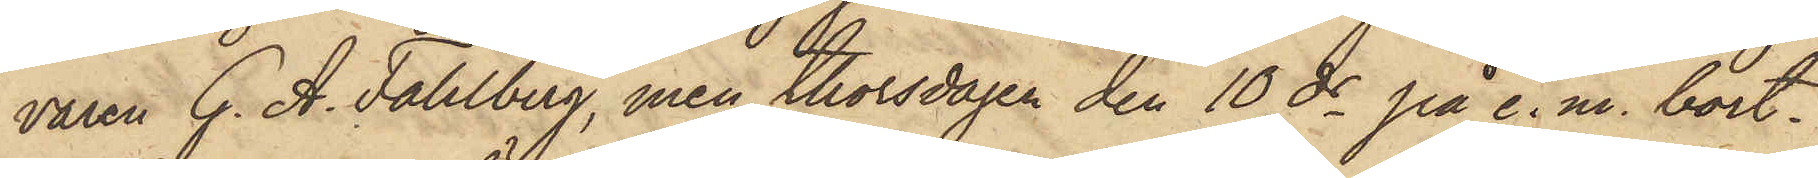varen G. A. Fahlberg, men thorsdagen den 10 ds på e. m. bort¬
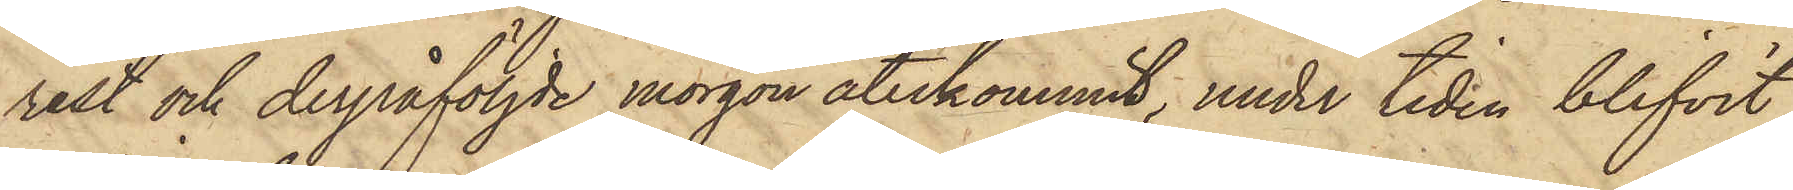rest och derpåföljde morgon återkommit, under tiden blifvit
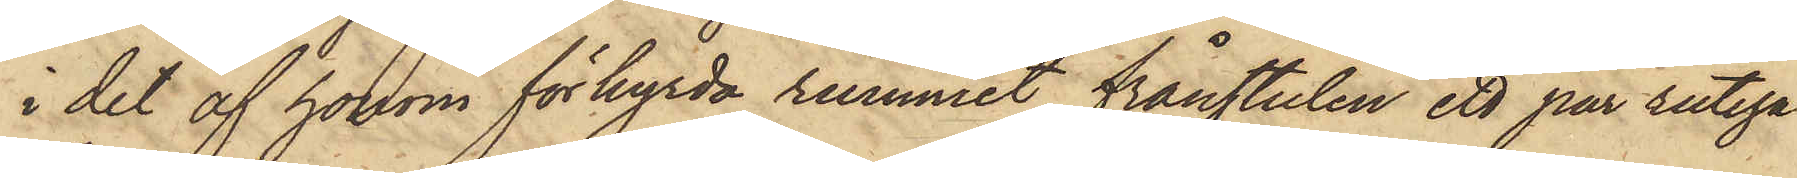i det af honom förhyrda rummet frånstulen ett par rutiga
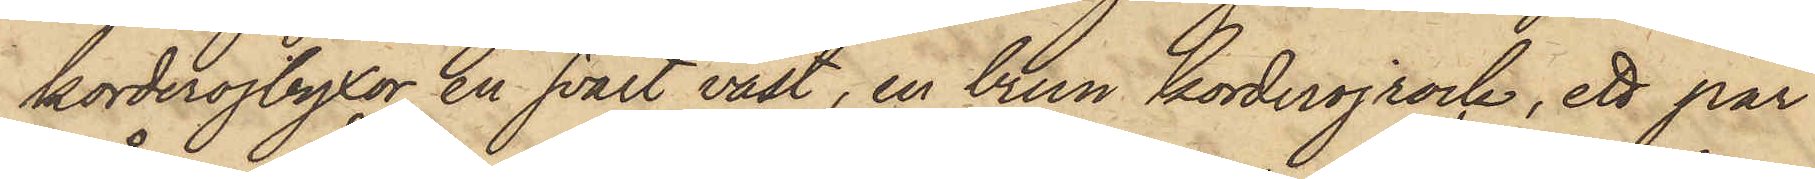korderojbyxor, en svart väst, en brun korderojrock, ett par
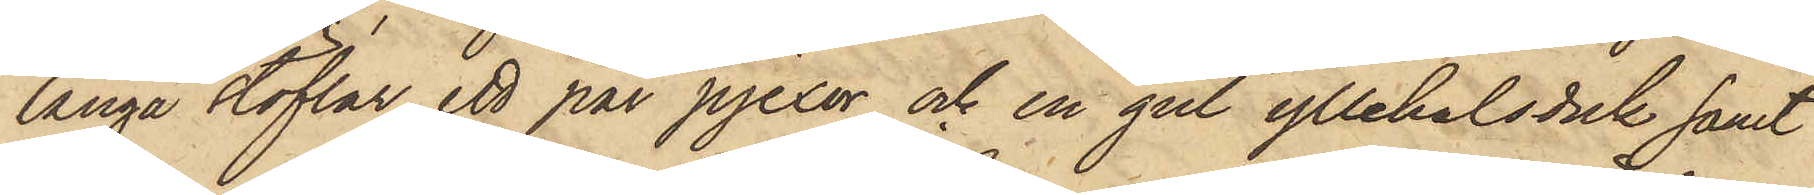långa stöflar, ett par pjexor och en gul yllehalsduk samt
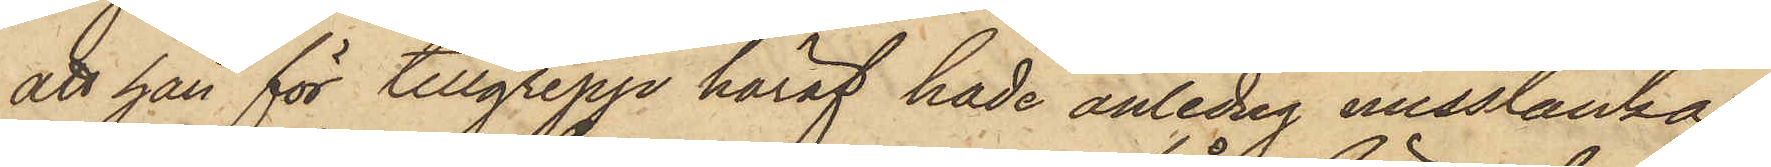att han för tillgrepp häraf hade anledng misstänka
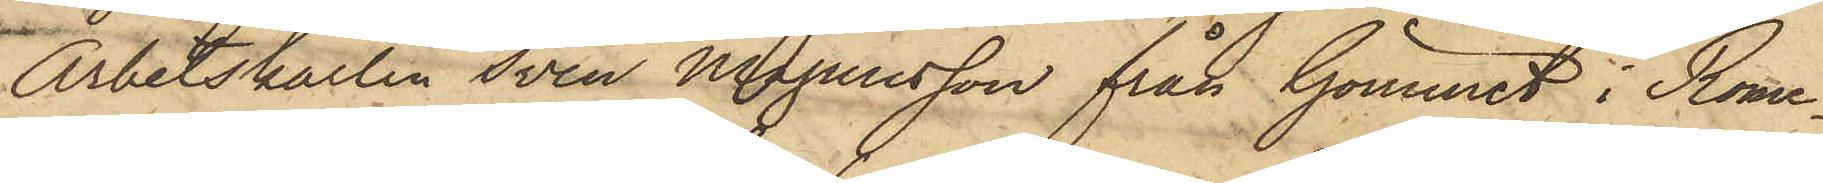Arbetskarlen Sven Magnusson från Gömmet i Rome¬
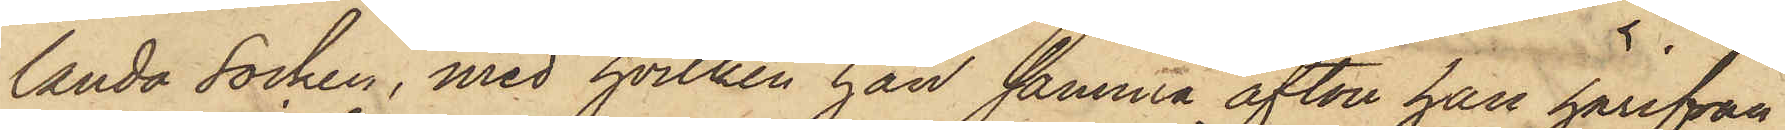landa socken, med hvilken han samma afton han härifrån
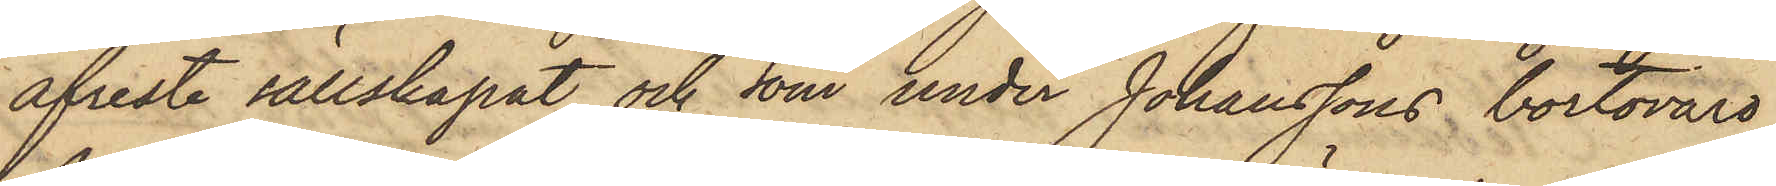afreste sällskapat och som under Johanssons bortovaro
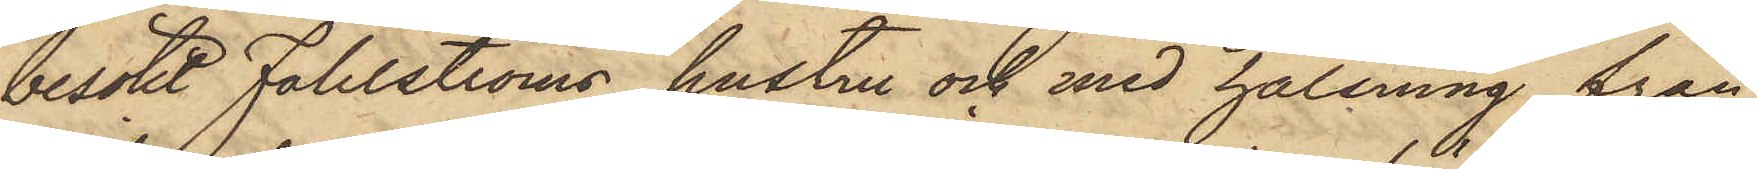besökt Fahlströms hustru och med hälsning från
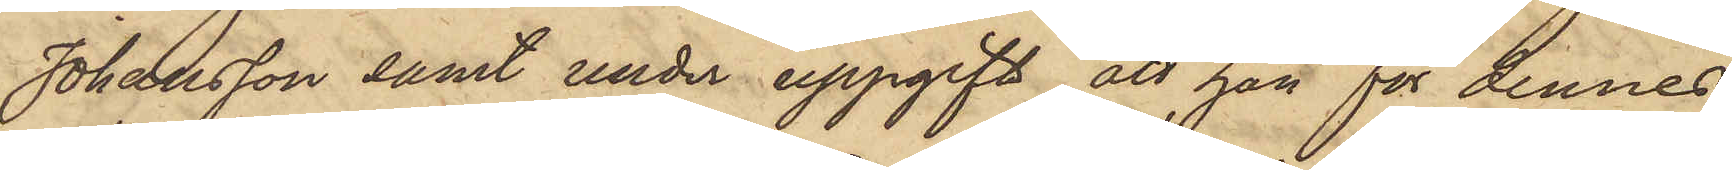Johansson samt under uppgift att han för dennes
